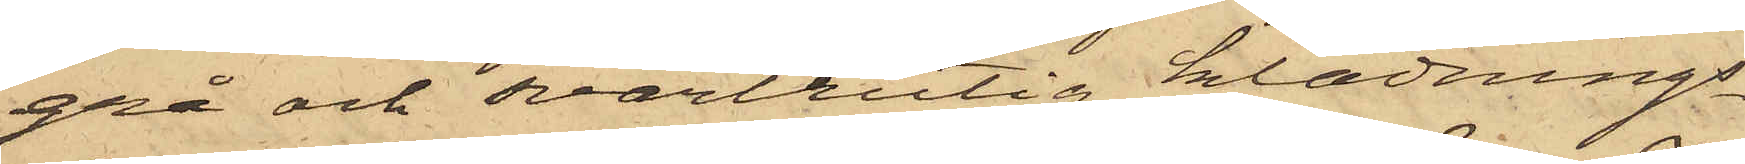grå och svartrutig klädnings¬
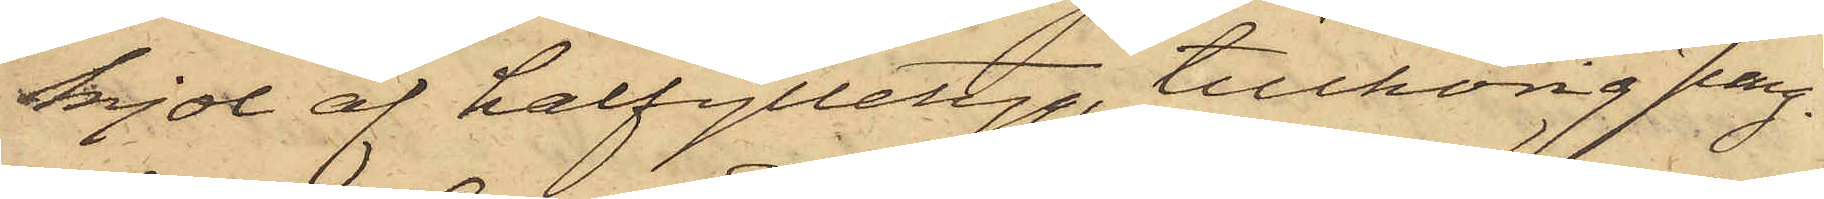kjol af halfylletyg, tillhörig Jung¬
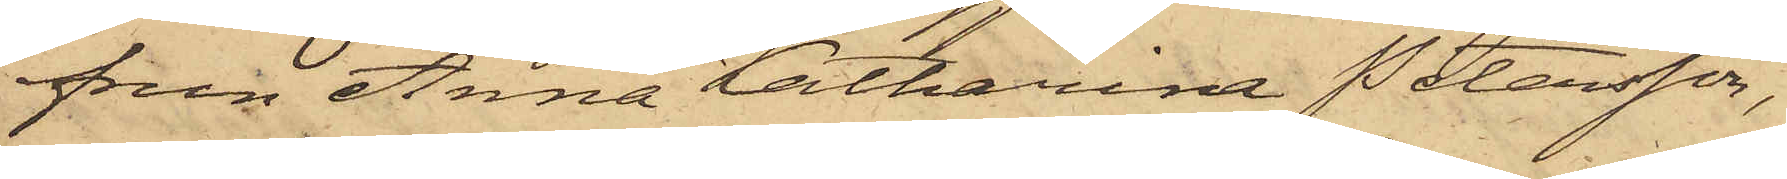frun Anna Katharina Petersson,
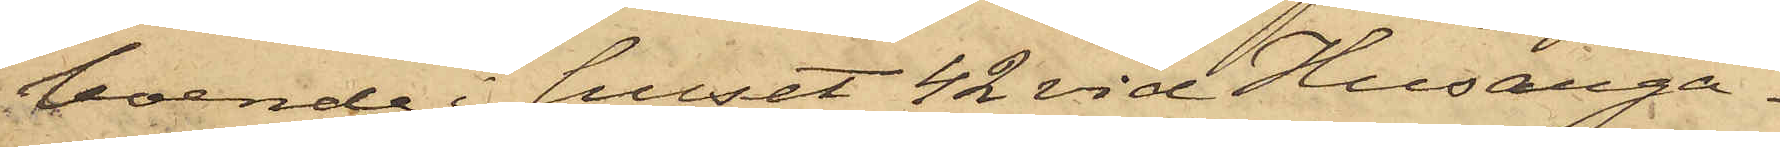boende i huset 42 vid Husarga¬
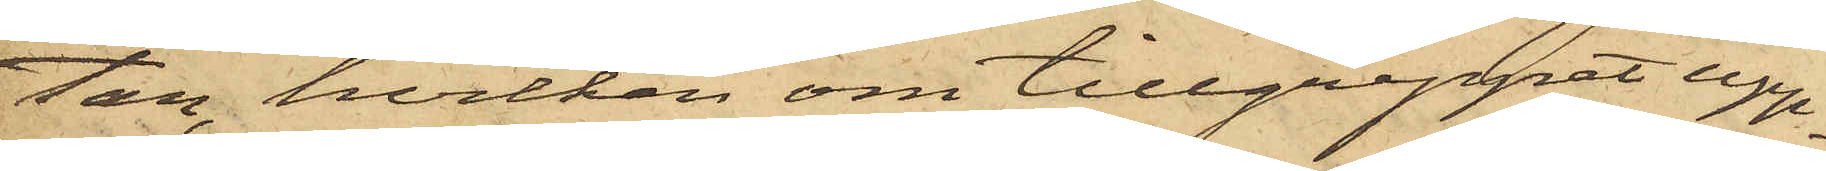tan, hvilken om tillgreppet upp¬
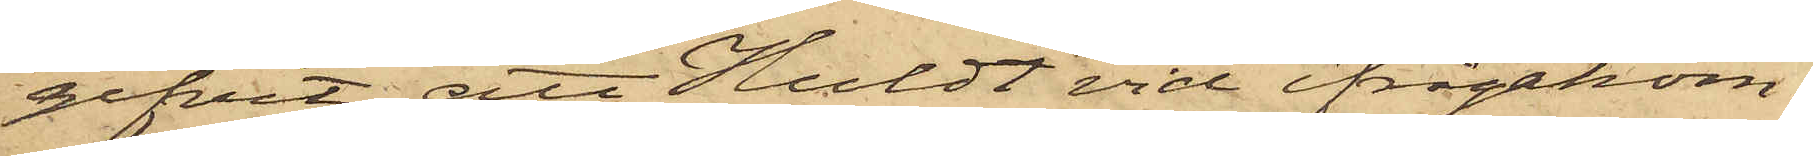gifvit att Huldt vid ifrågakom¬
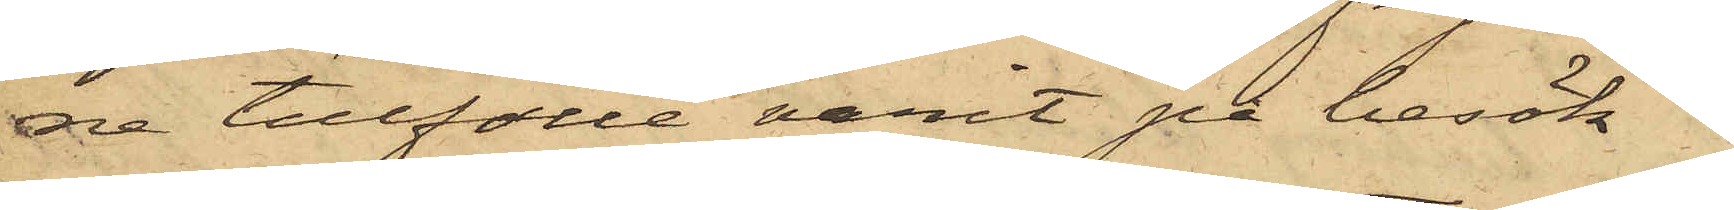re tillfälle varit på besök i
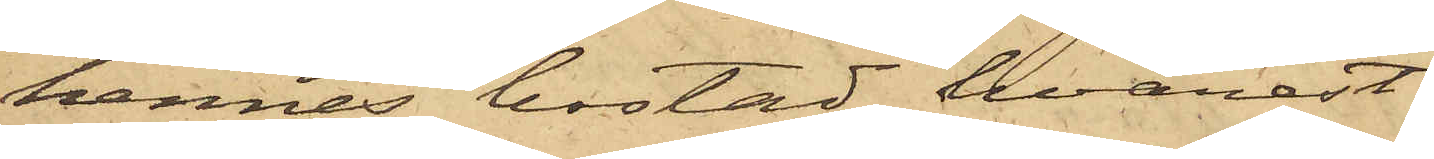hennes bostad, hvarest
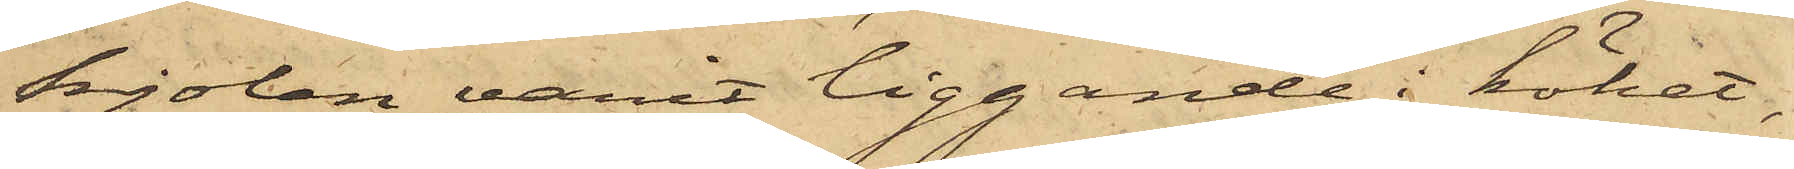kjolen varit liggande i köket,
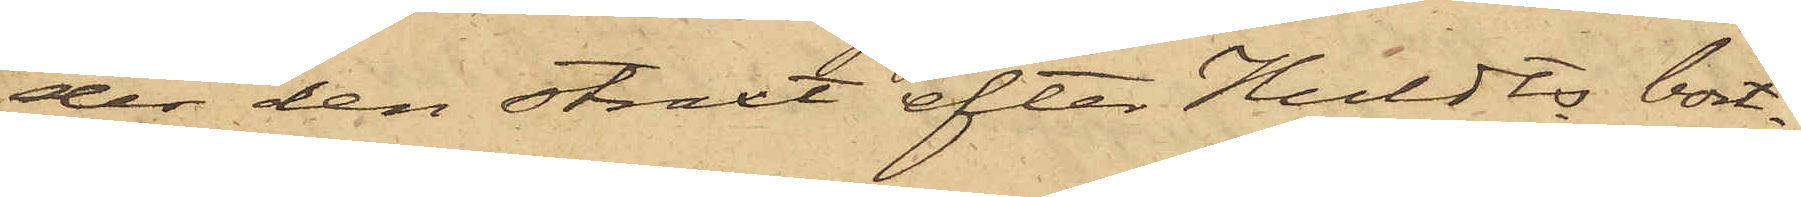der den straxt efter Huldts bort¬
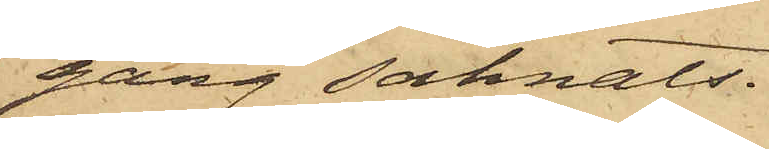gång saknats.
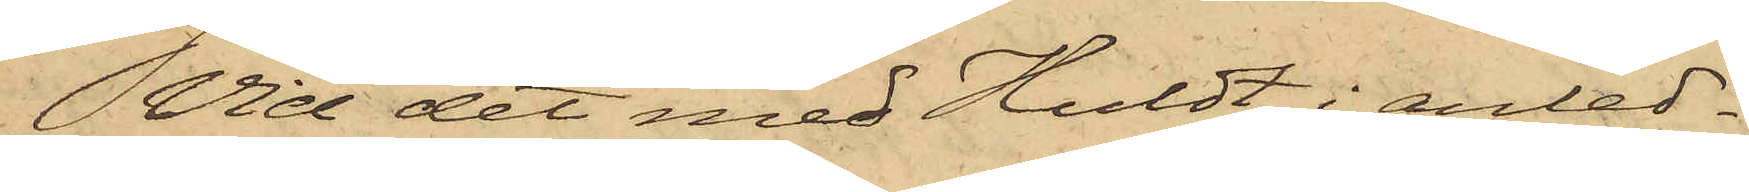Vid det med Huldt i anled¬
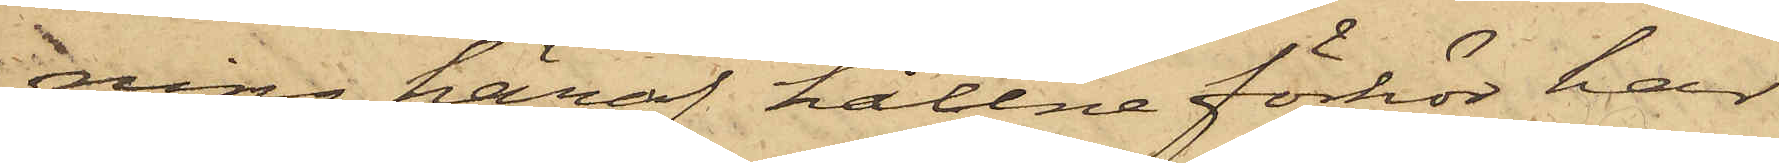ning häraf hållne förhör har
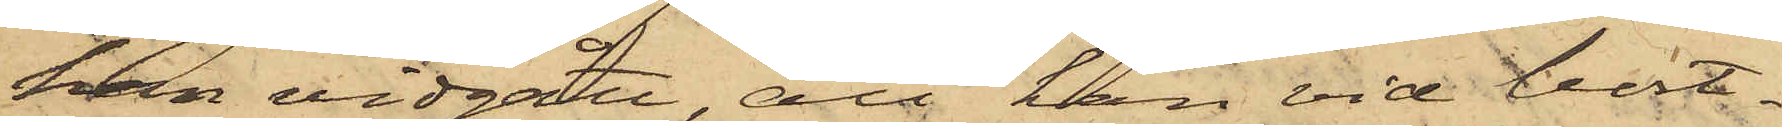han vidgått, att han vid bort¬
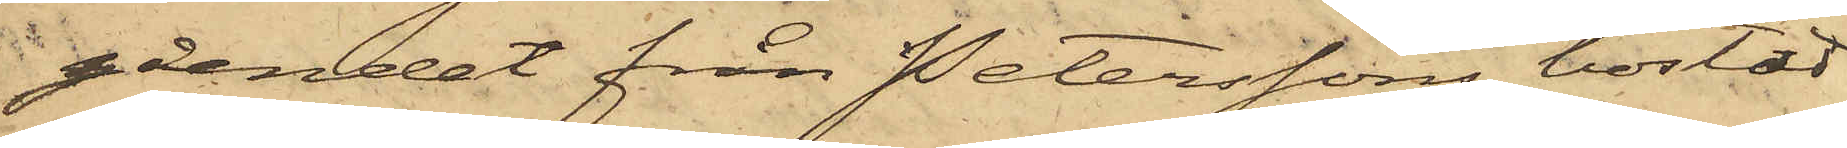gåendet från Peterssons bostad
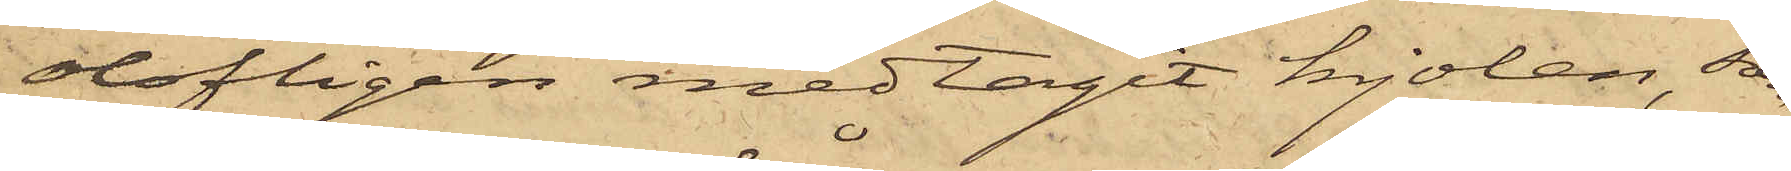olofligen medtagit kjolen, som
